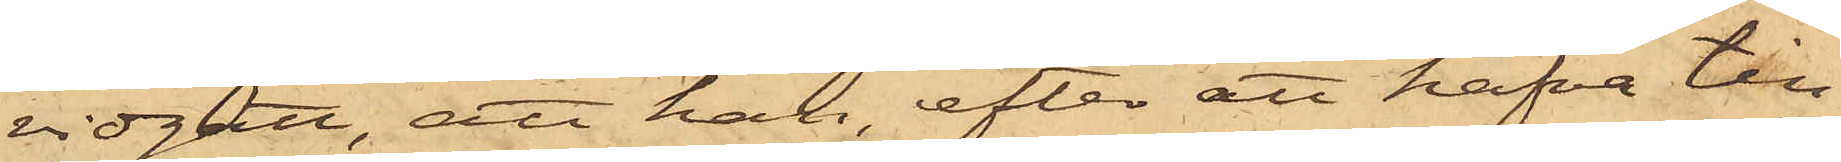vidgått, att han, efter att hafva till¬
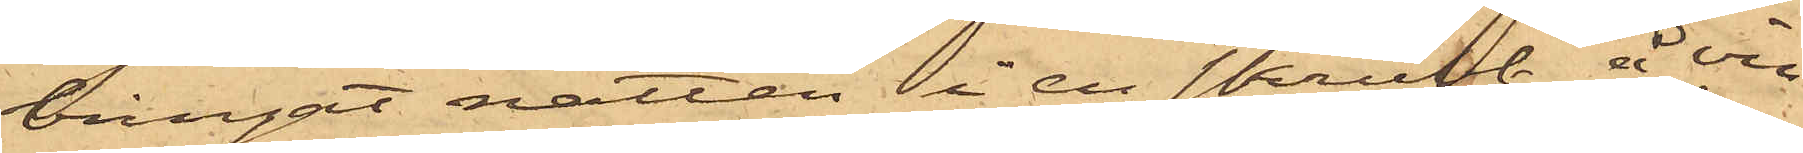bringat natten i en skrubb å vin¬
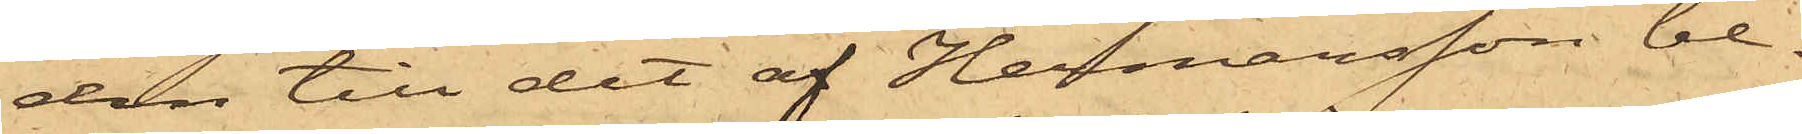den till det af Hermansson be¬
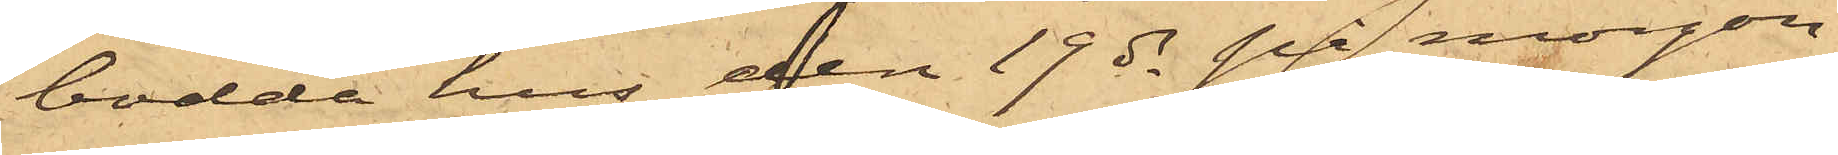bodda hus, den 19 ds på morgon
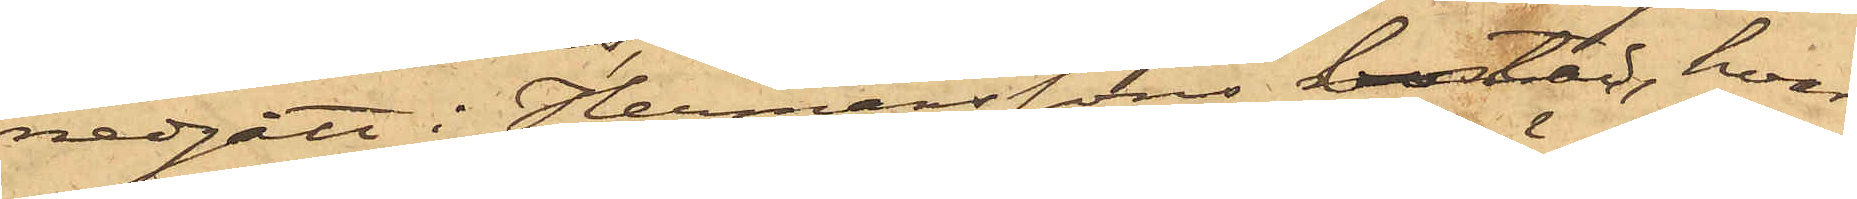nedgått i Hermanssons bostad, hvar¬
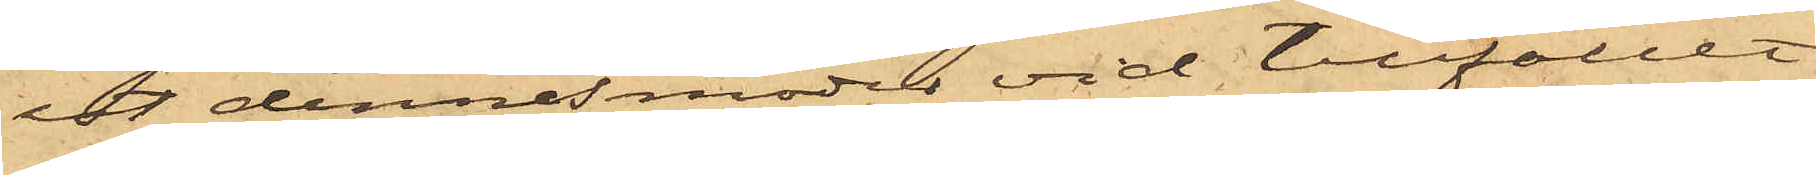est dennes moder vid tillfället
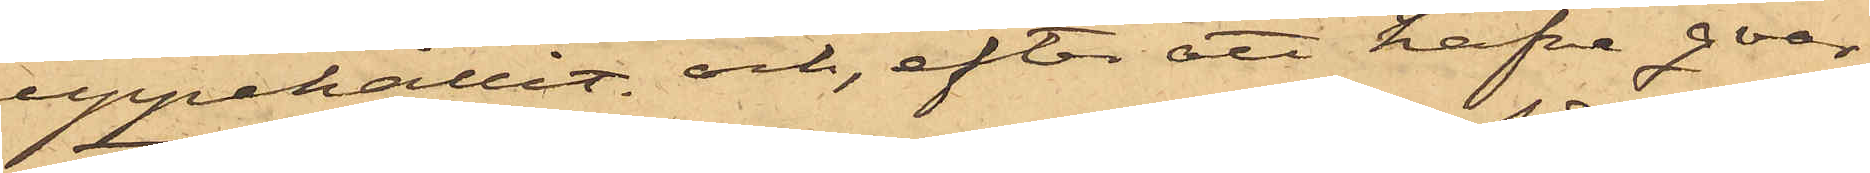uppehållit och, efter att hafva qvar¬
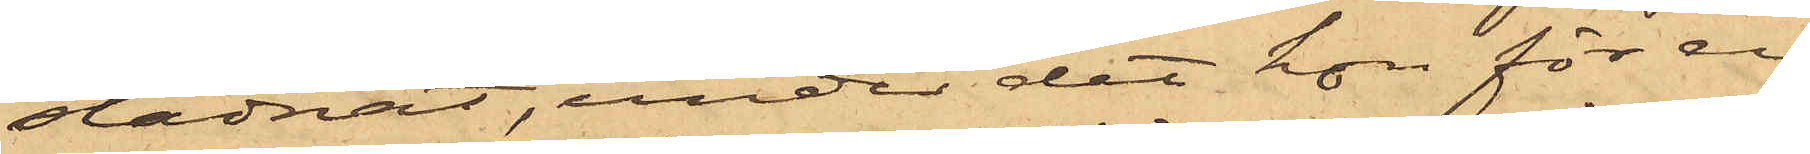stadnat, under det hon för en
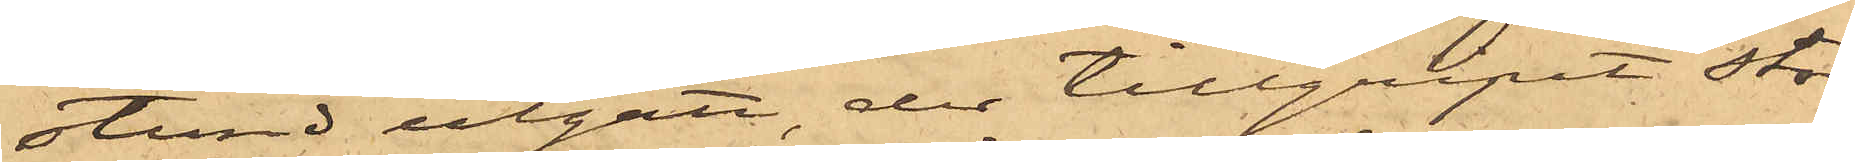stund utgått, der tillgripit stor¬
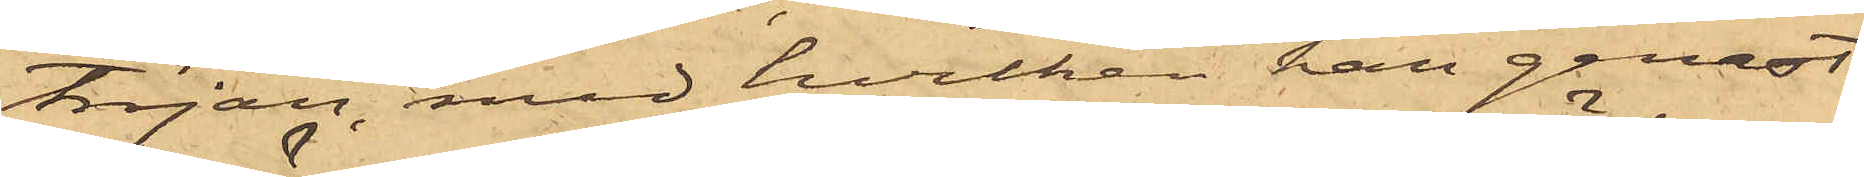tröjan, med hvilken han genast
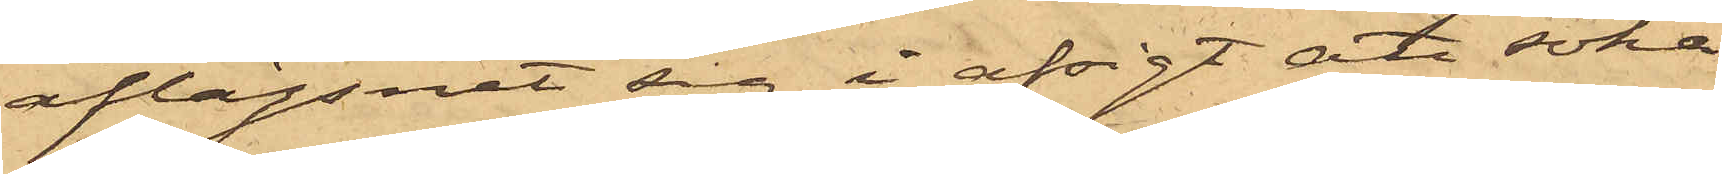aflägsnat sig i afsigt att söka
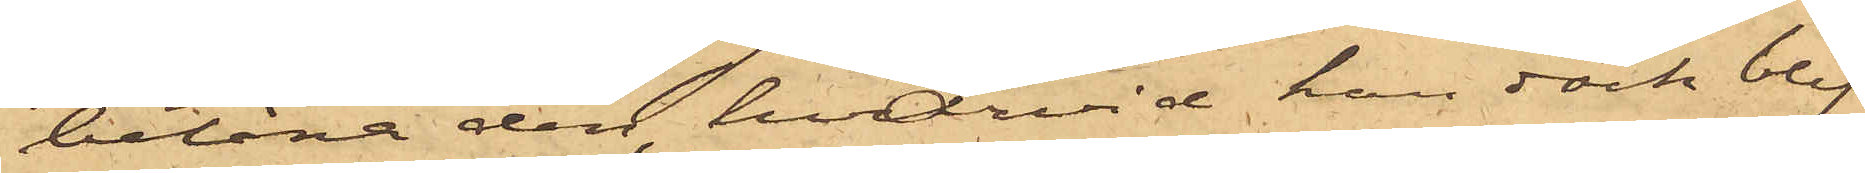belåna den, hvarvid han dock blif¬
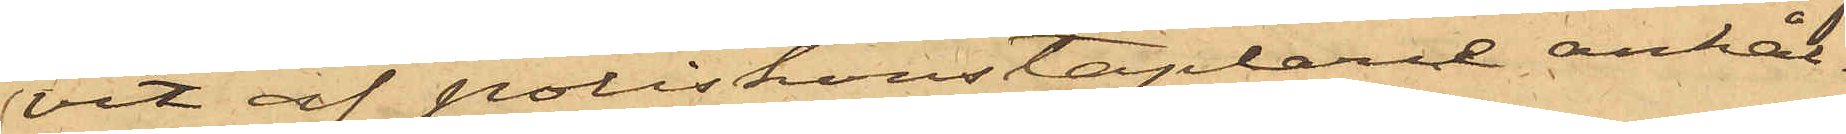vit af poliskonstaplarne anhål¬
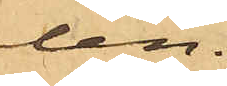len.
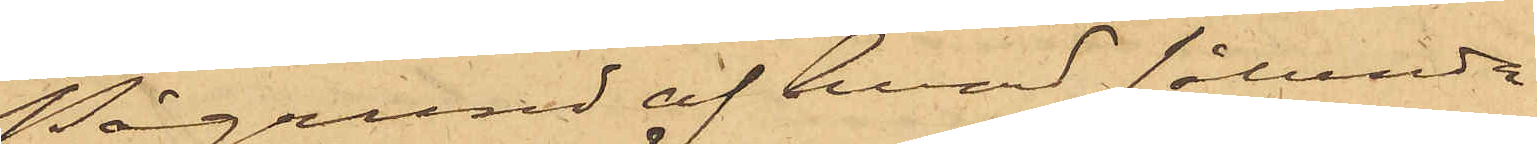På grund af hvad sålunda
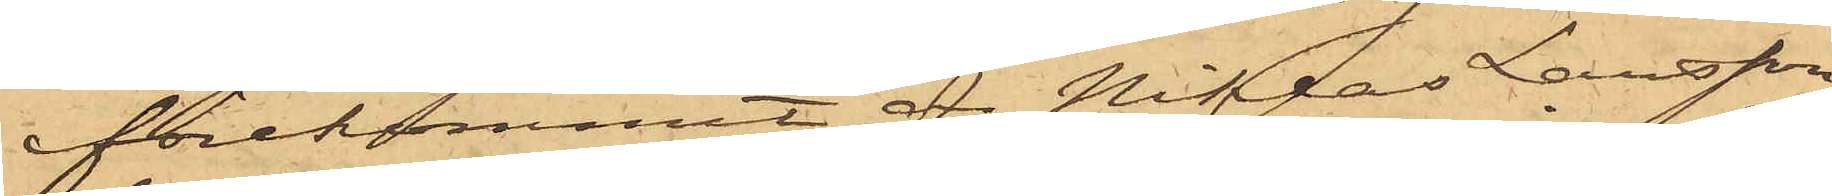förekommit, är Niklas Larsson
